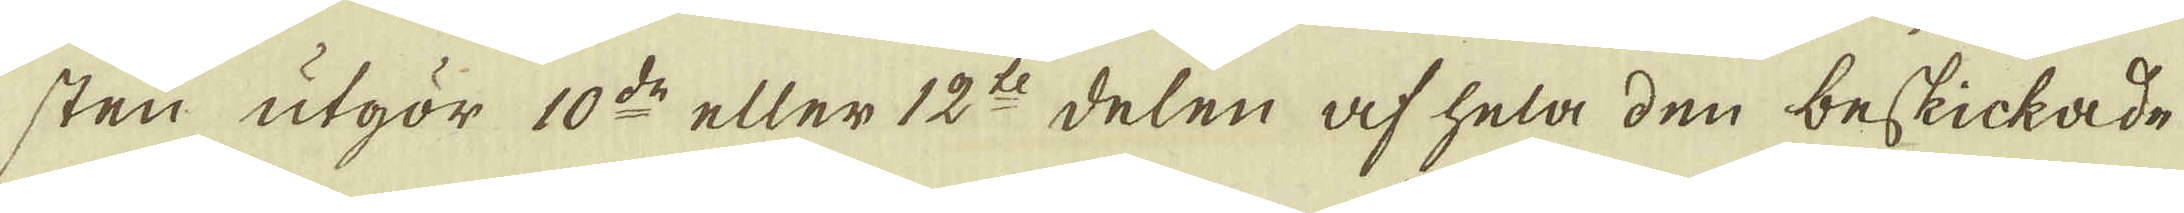sten utgör 10:de eller 12:t delen af hela den beskickade
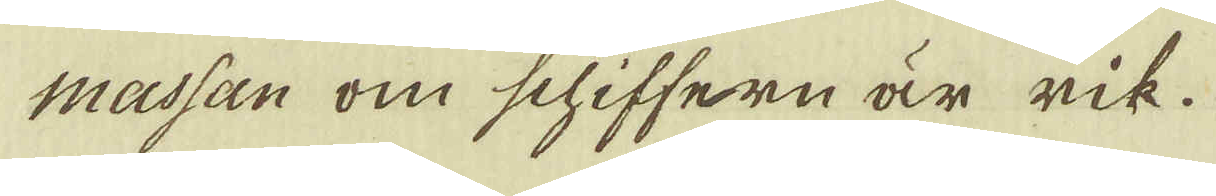massan om schiffern är rik.
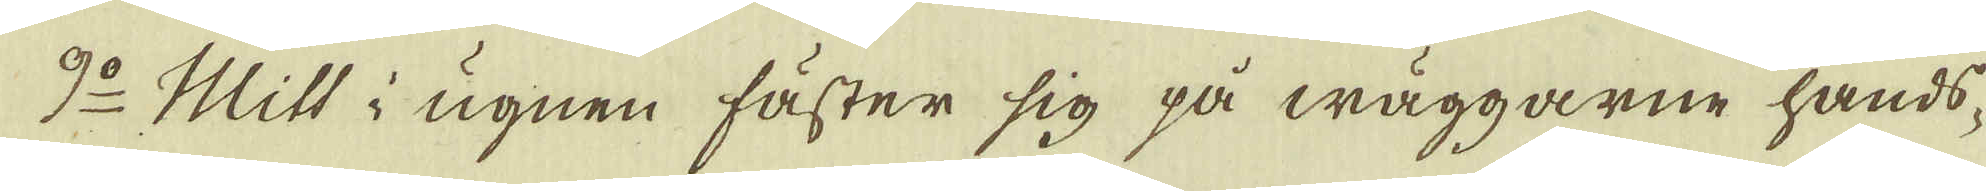9:o Mitt i ugnen fäster sig på wäggarne hands-
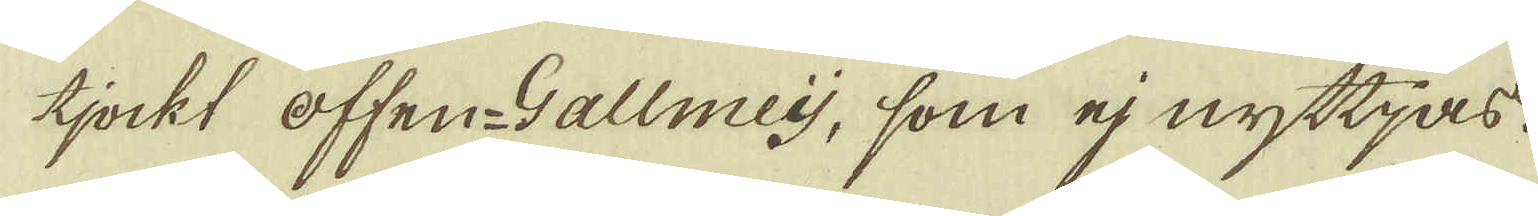tjockt offen-Gallmeij, som ej nyttjas.
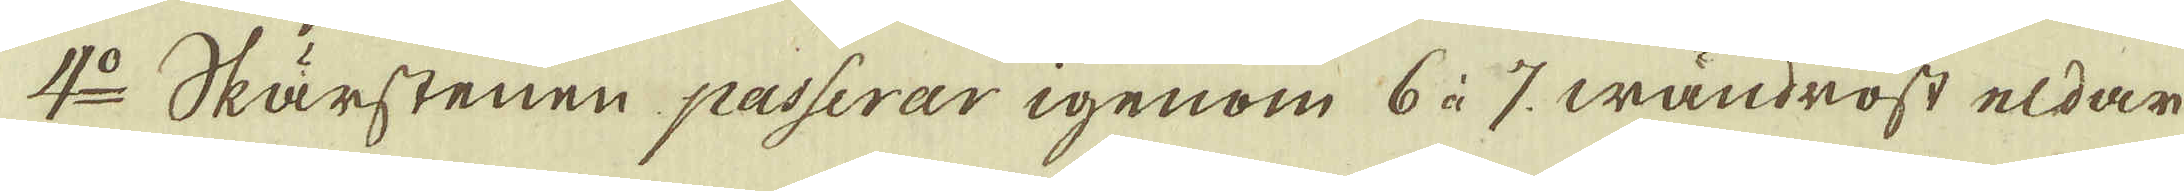4:o Skärstenen passerar igenom 6 à 7 wändrost eldar
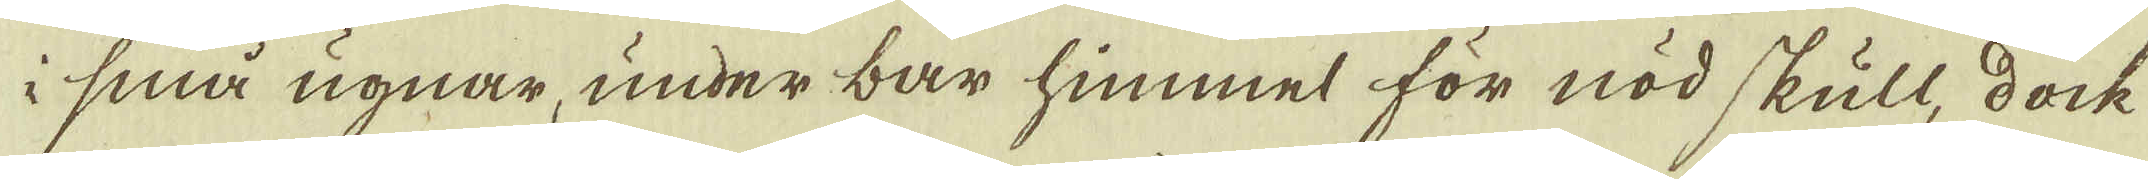i små ugnar, under bar himmel för nöd skull, dock
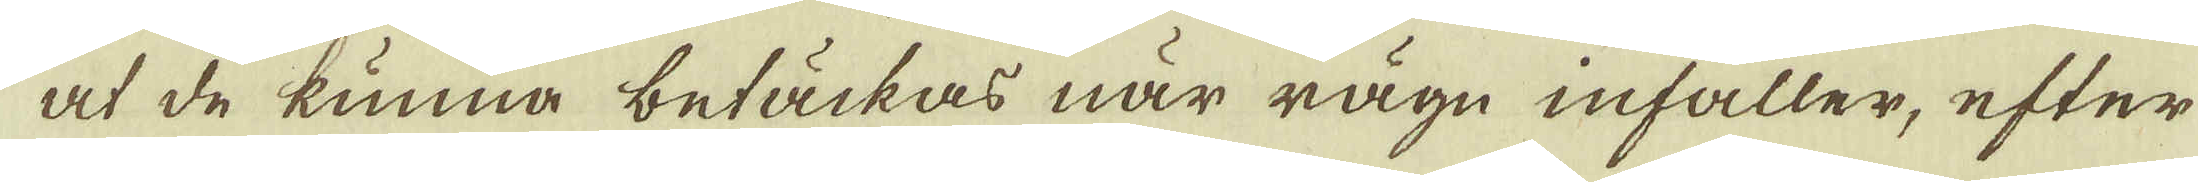at de kunna betäckas när rägn infaller, efter
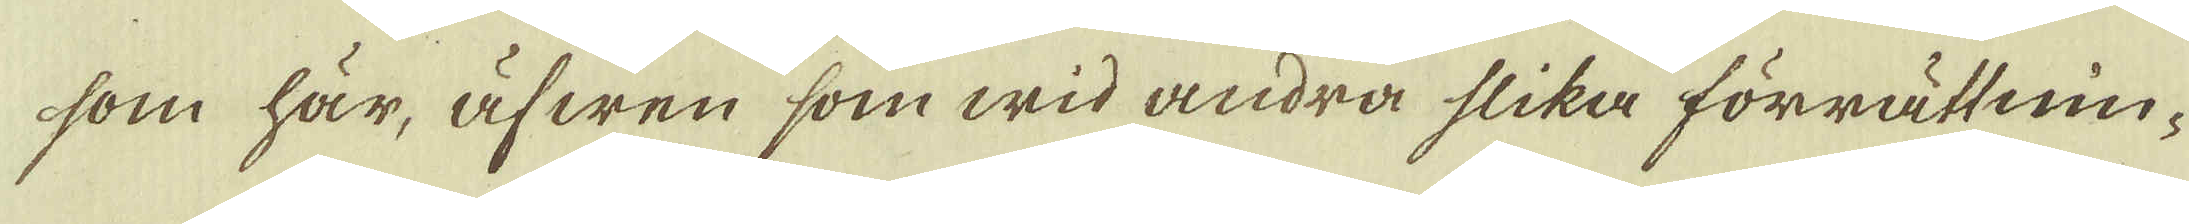som här, äfwen som wid andra slika förrättnin-
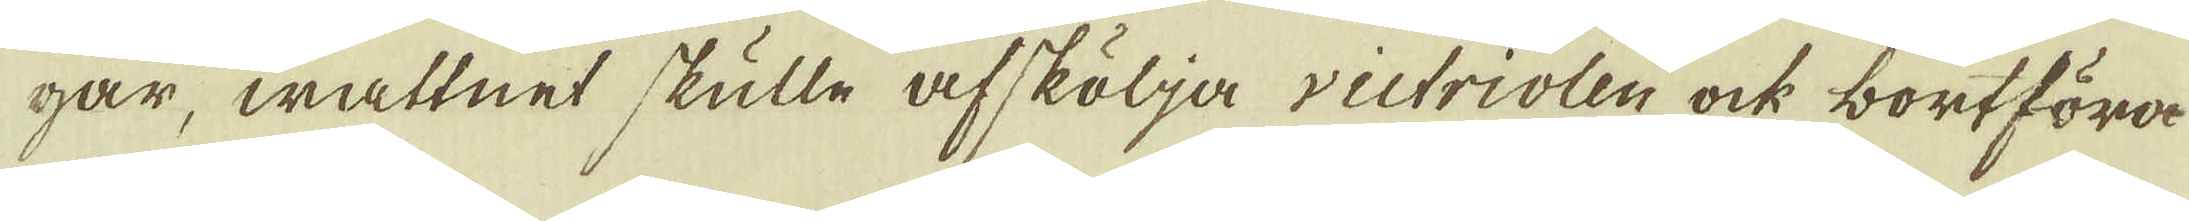gar, wattnet skulle afskölja victriolen ock bortföra
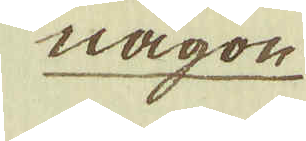någon
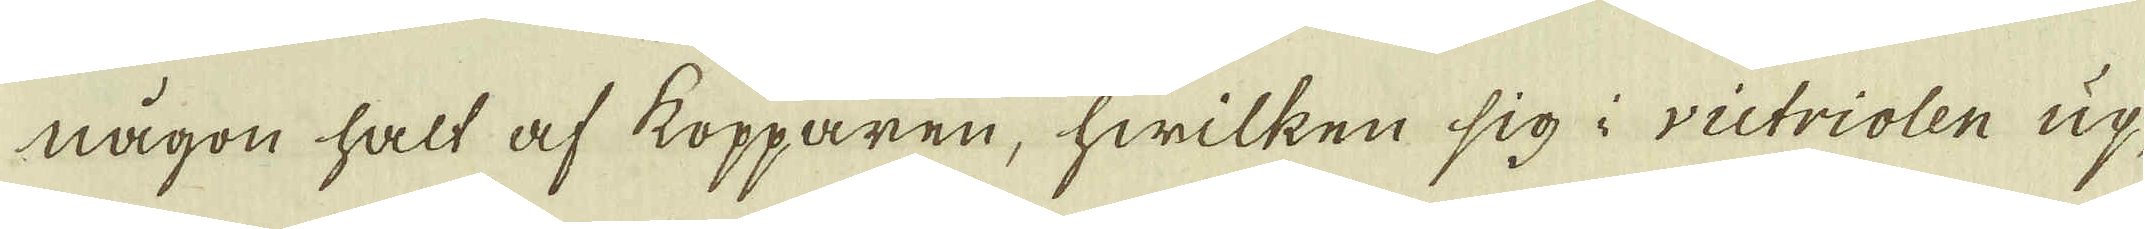någon halt af kopparen, hwilken sig i victriolen up-
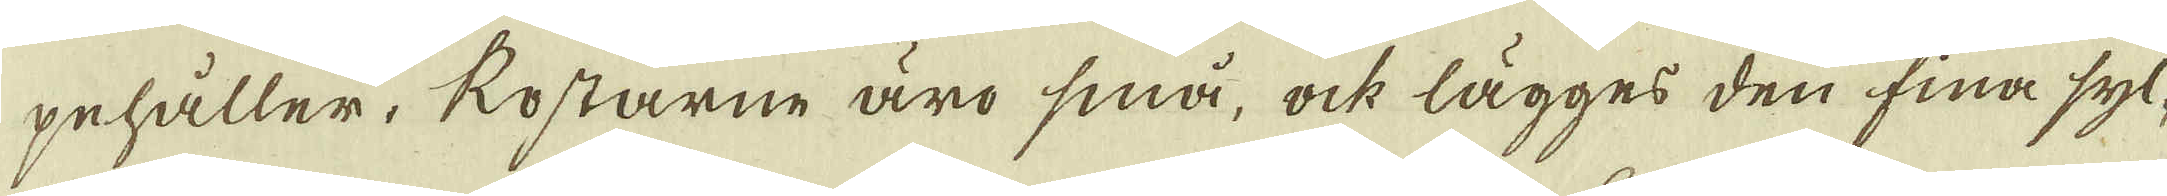pehåller, kostarne äro små, ock lägges den fina syl-
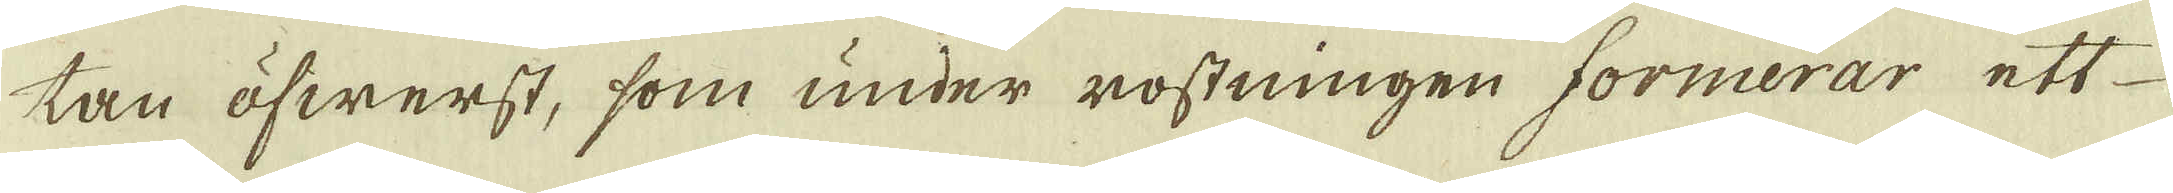tan öfwerst, som under rostningen formerar ett
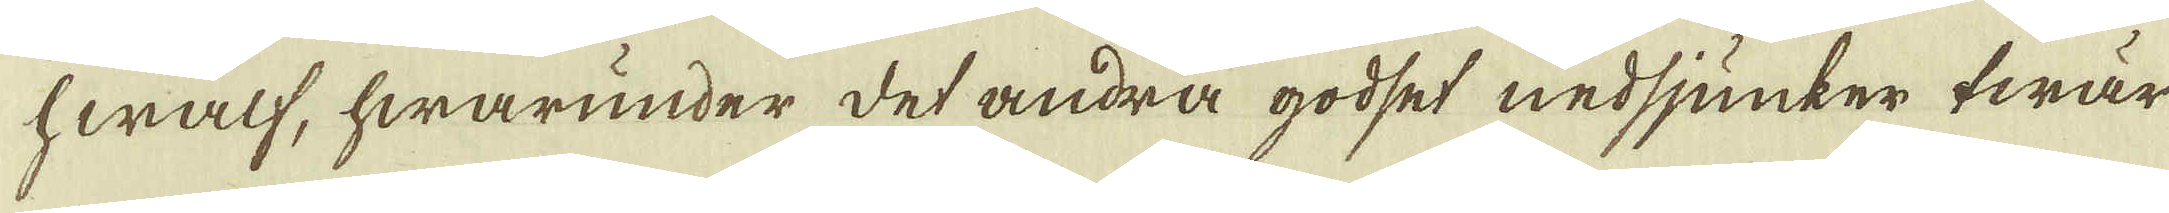hwalf, hwarunder det andra godset nedsjunker twär
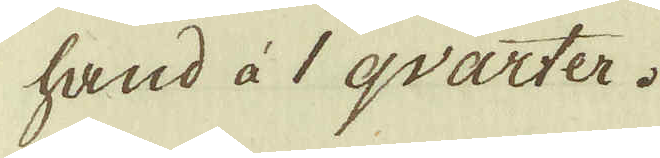hand à 1 qvarter.
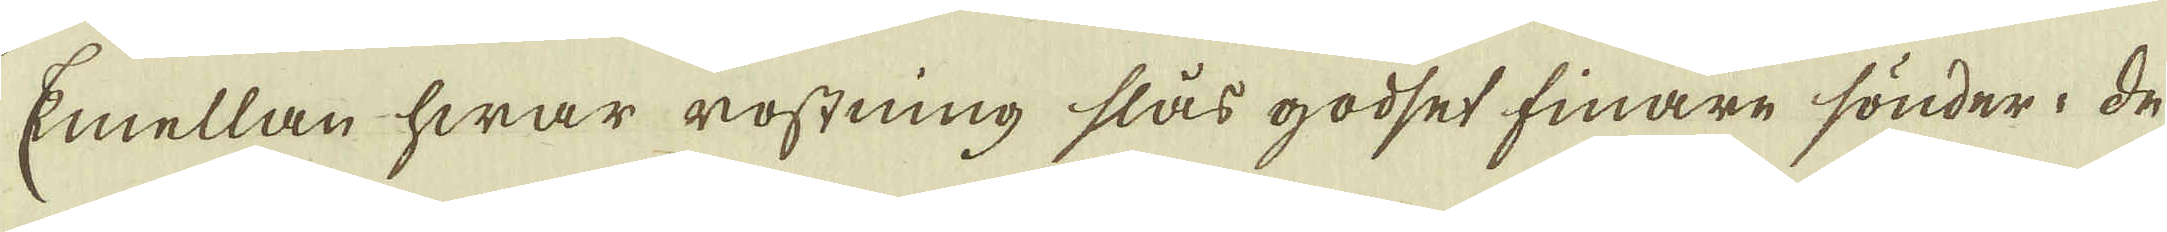Emellan hwar rostning slås godset finare sönder. De
